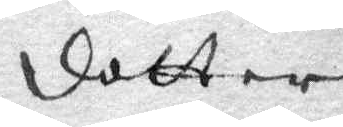dotter
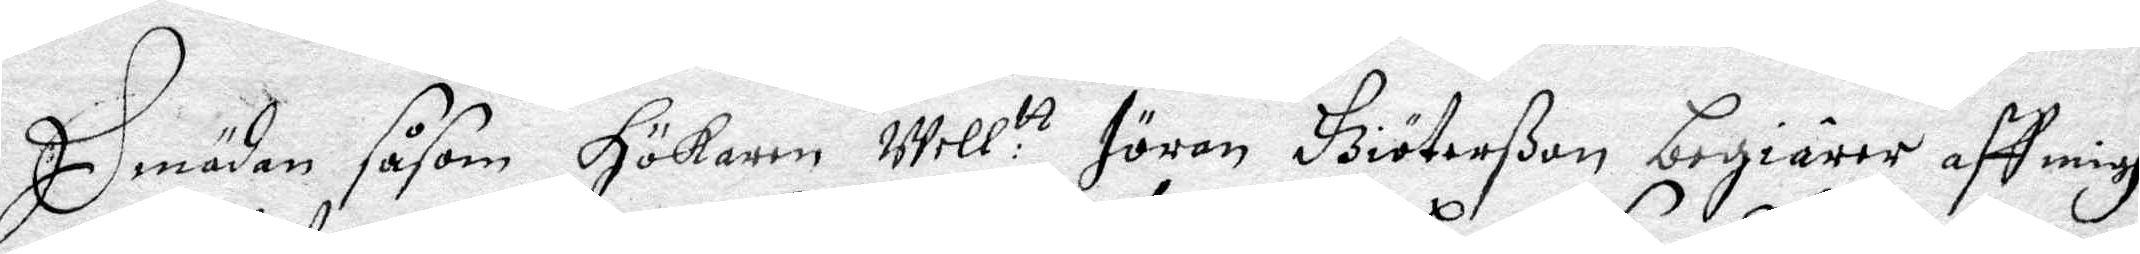Emädan ssom hökaren Well:tt Jöran Giöterßon begiärer aff migh
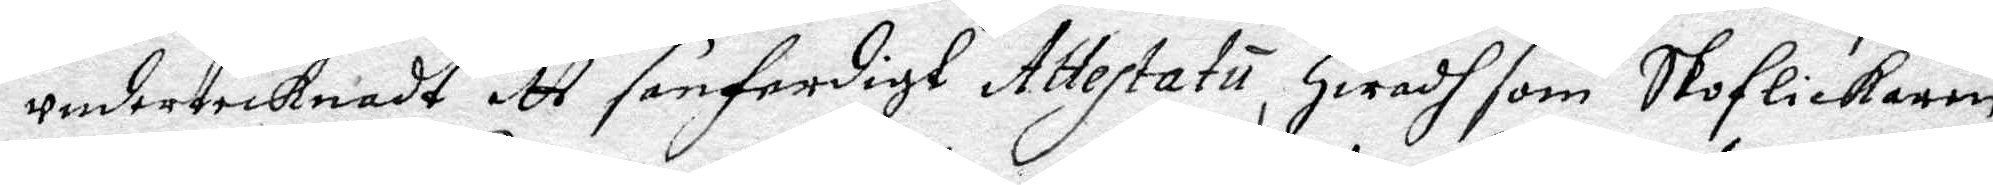undertecknadt ett senferdigt Attestatu, hwad som Skoflickaren
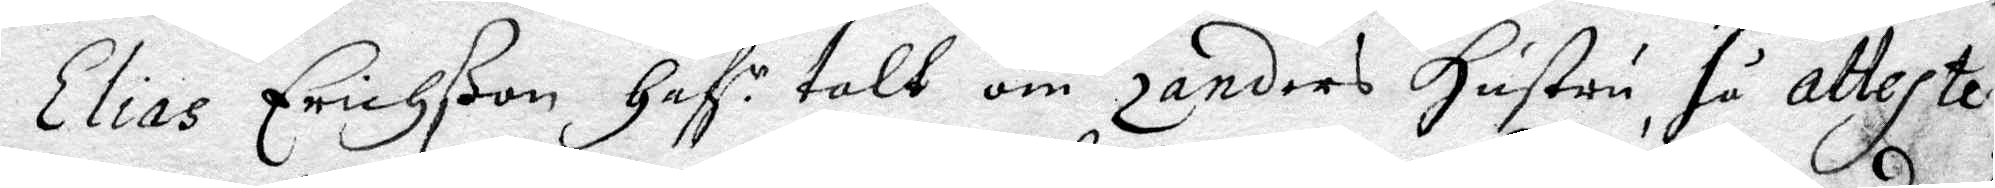Elias Erichßon haf.r talt om Zanders hustru, så atteste¬
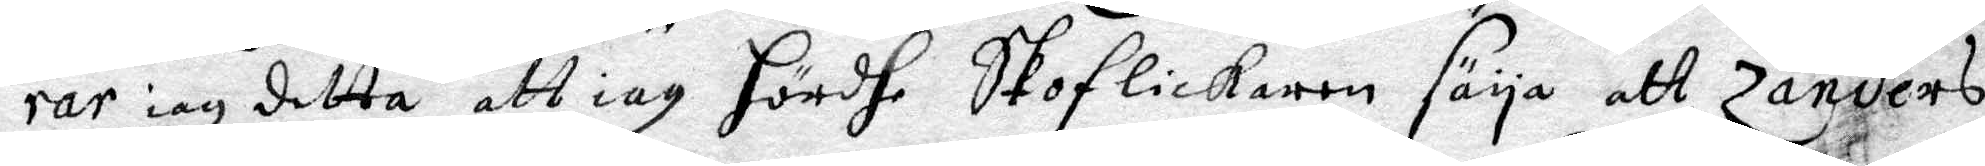rar iag detta, att iag hördt Skoflickaren säya att Zanders
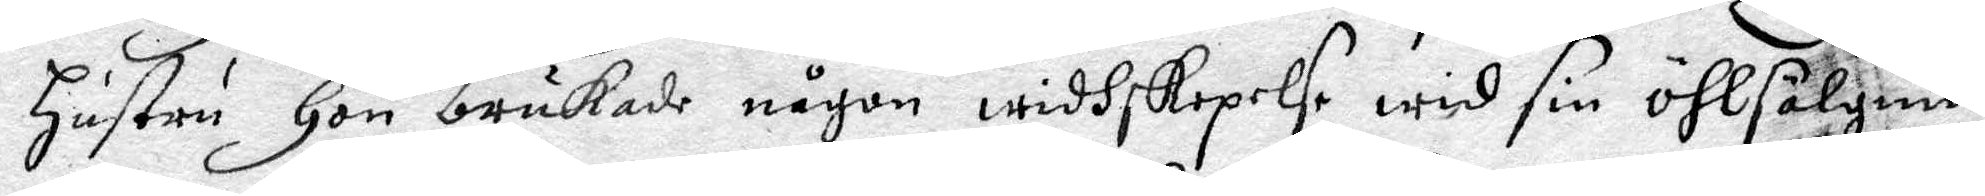justru hon brukade någon widhskepelse wid sin öhlsälgning
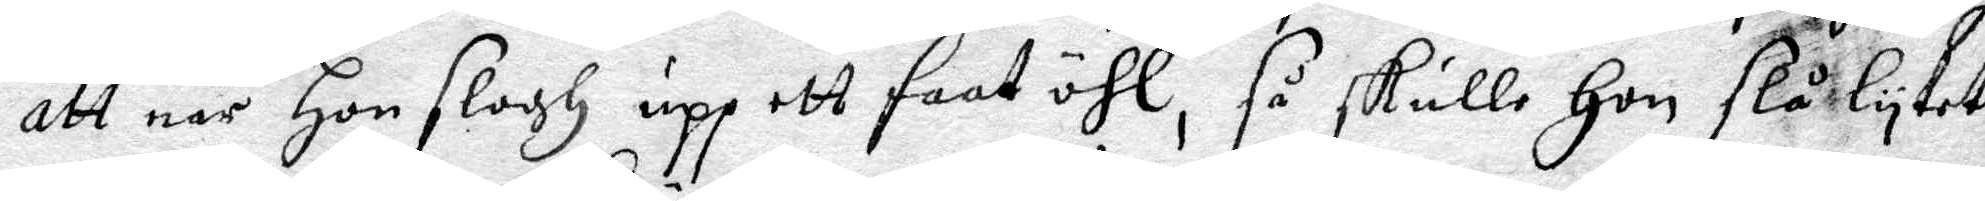att när hon slogh upp ett faat öhl, så skulle hon slå lytet
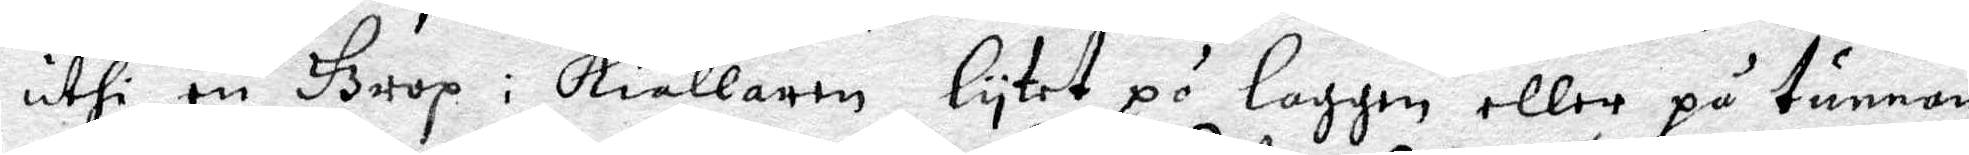uthi en Grop i kiällaren, lytet på laggen eller på tunnan,
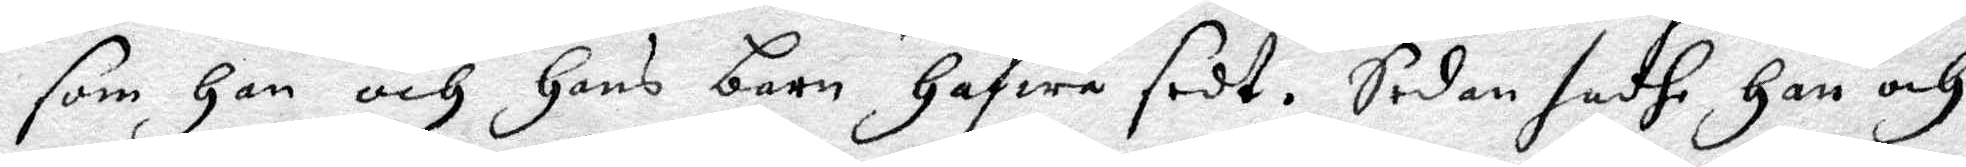som hon och hans barn hafwa sedt. Sedan sadhe han och
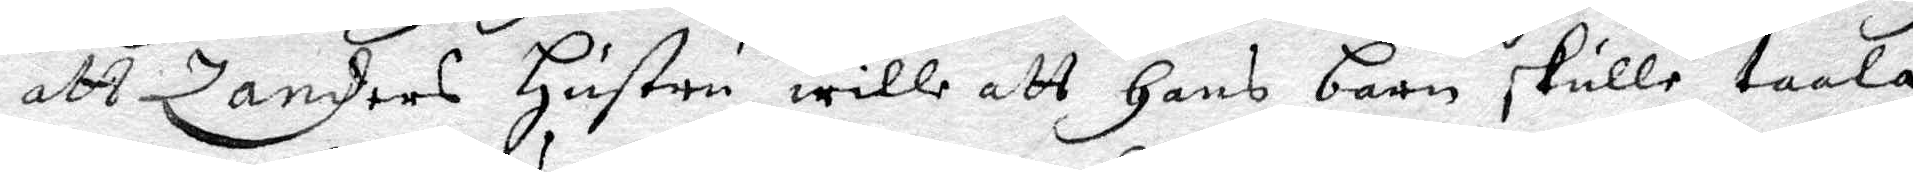att Zanders hustru wille att hans barn skulle taala
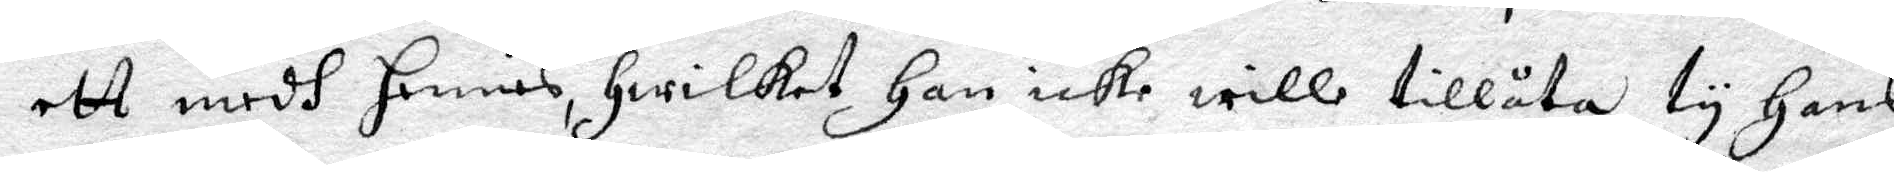ett medh hennes, hwilket han icke wille tillåta, ty hans
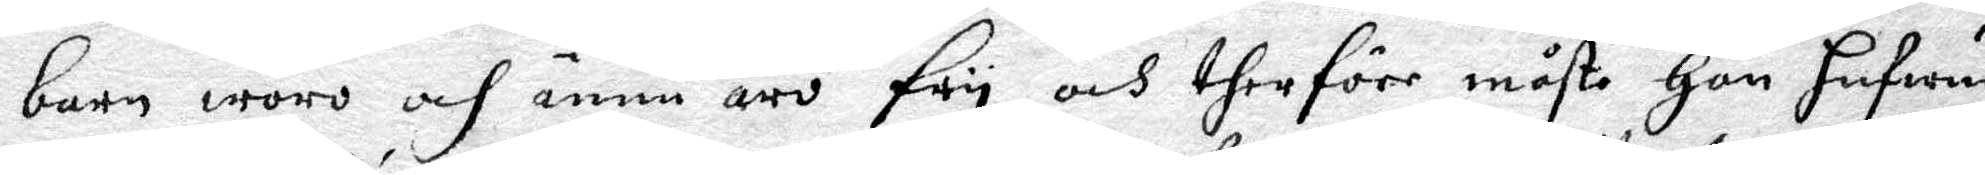barn woro och ännu äro fry, och therföre måste hon hufwud¬
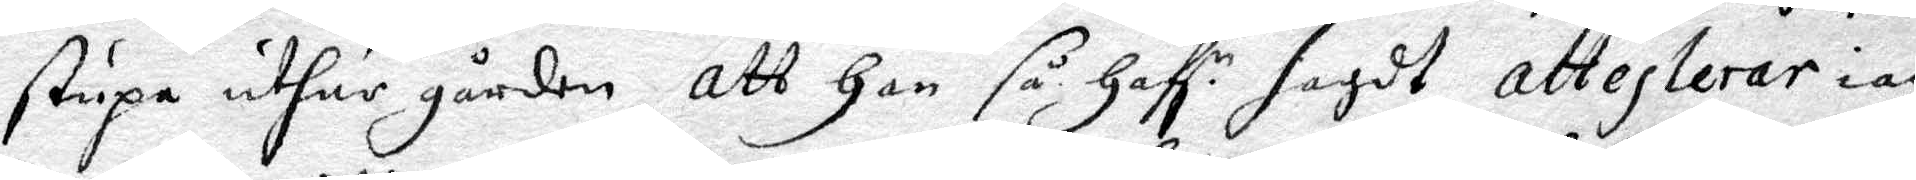stupa uthur gården, att han så haf.r sagdt attesterar iag
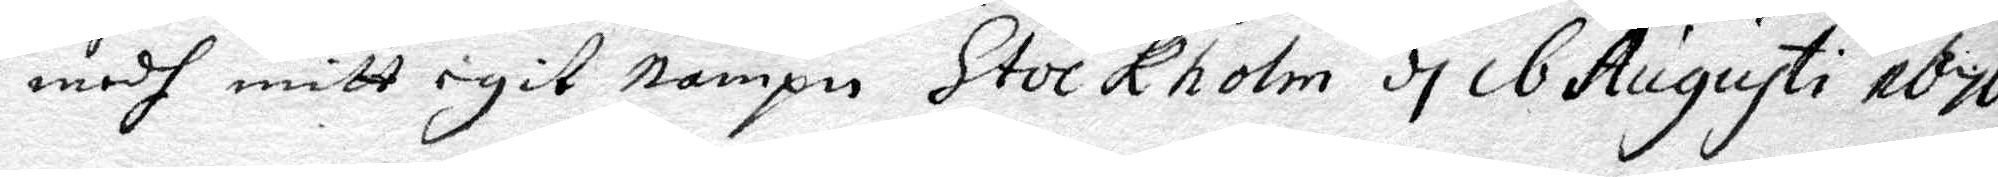medh mitt egit nampn Stockholm d 16 Augustu 1676.
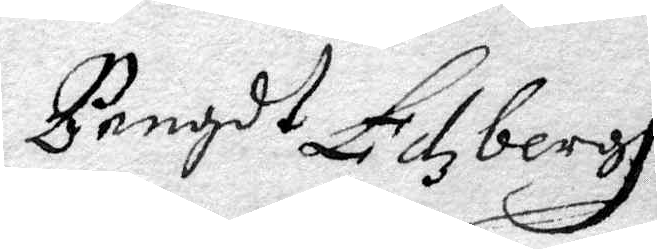Bengdt Edzbergh
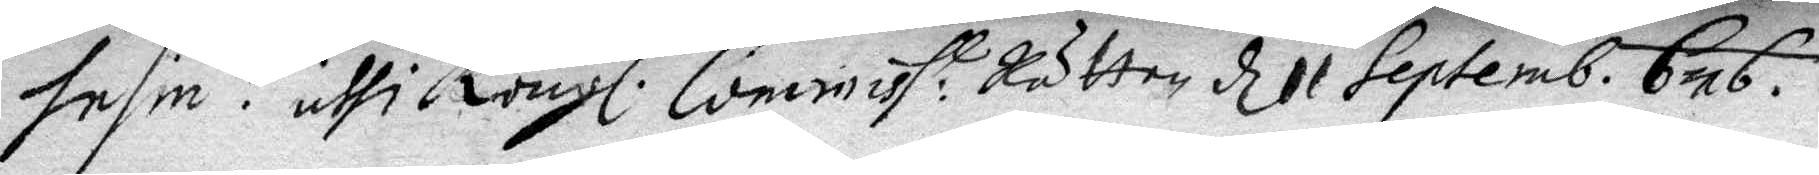Insin: uthi Kongl. Commiss:t Rätten d 11 Septemb. 676.
